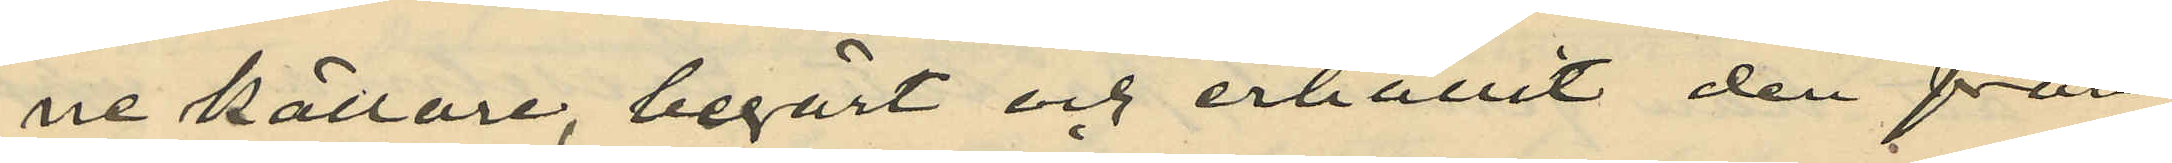ne källare, begärt och erhållit den från
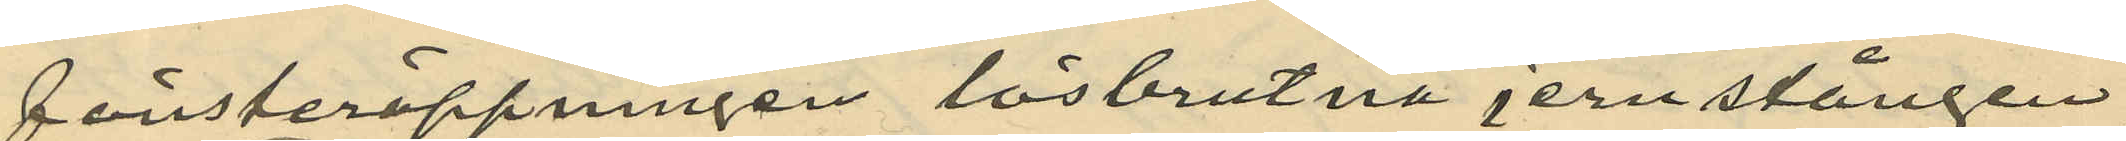fönsteröppningen lösbrutna jernstången
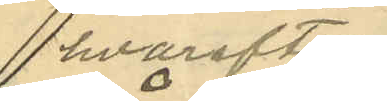 hvarefter
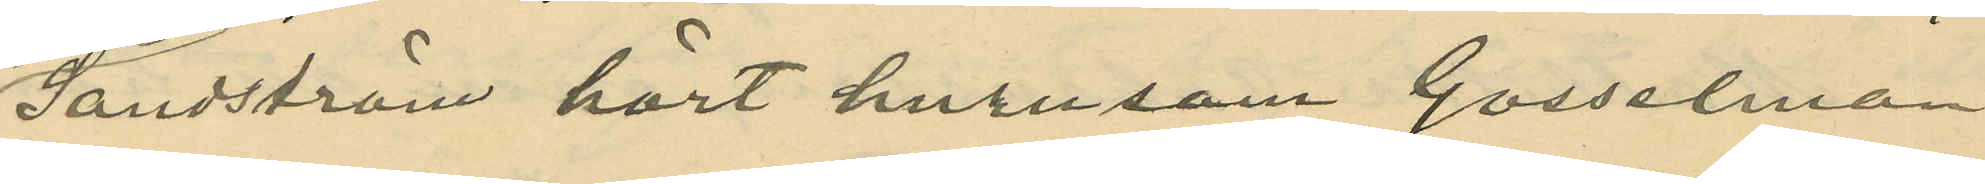Sandström hört hurusom Gosselman
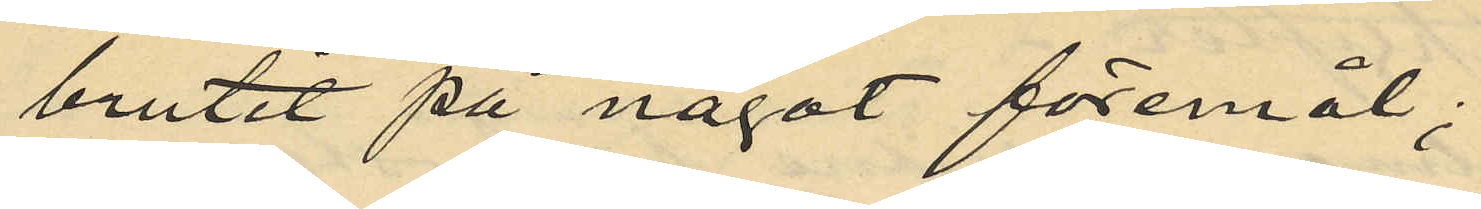brutit på något föremål;
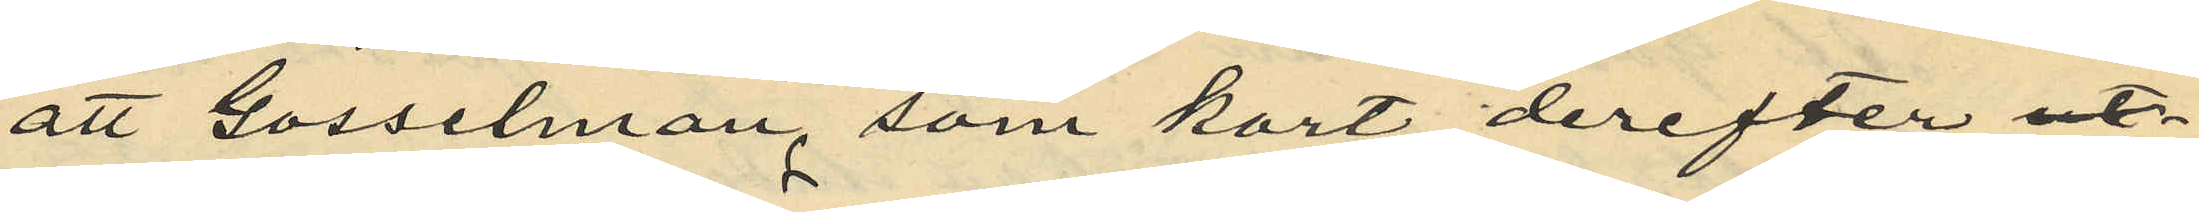att Gosselman, som kort derefter ut
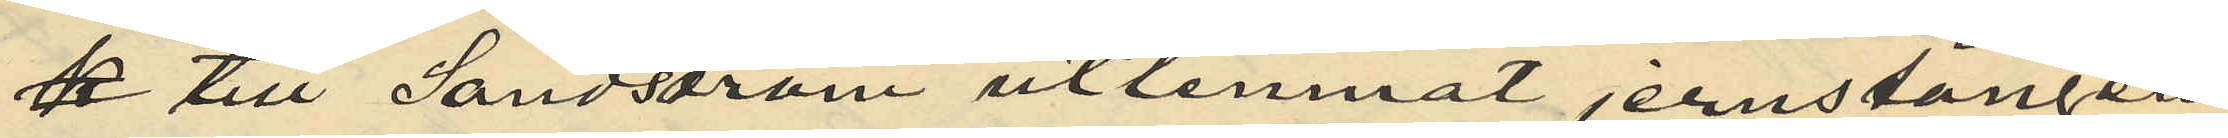k till Sandström utlemnat jernstången
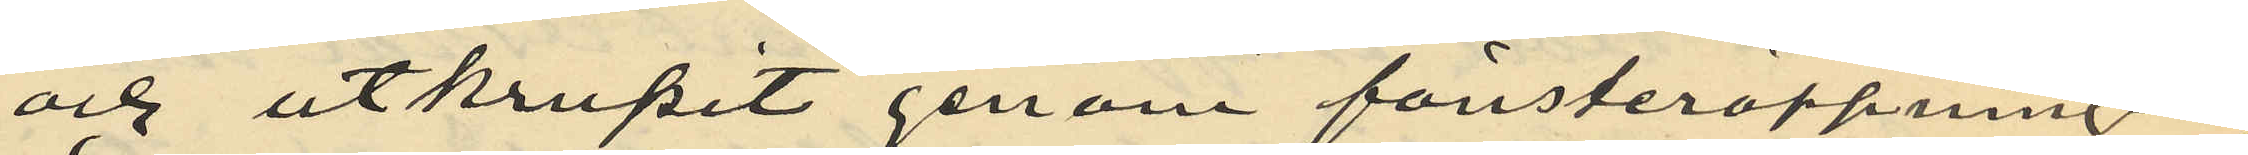och utkrupit genom fönsteröppningen
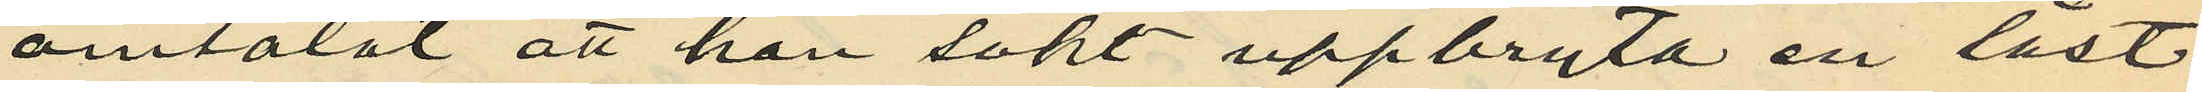omtalat att han sökt uppbryta en låst
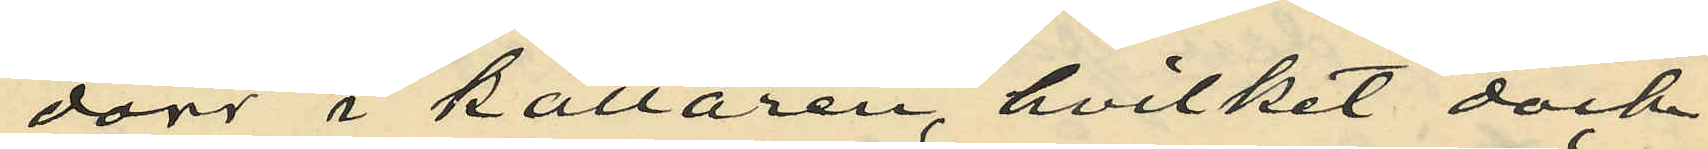dörr i källaren, hvilket dock
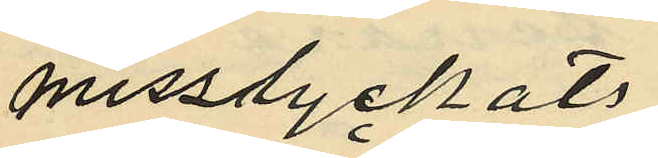misslyckats
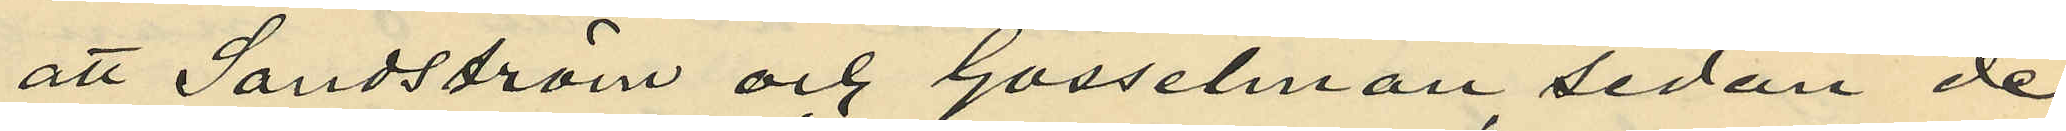att Sandström och Gosselman sedan de
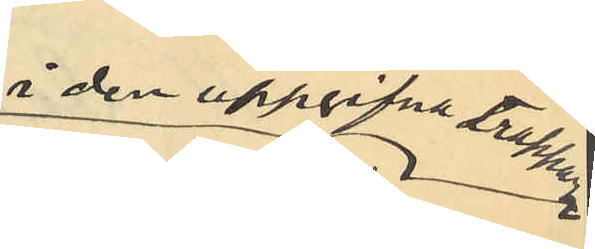å den uppgifna trappan
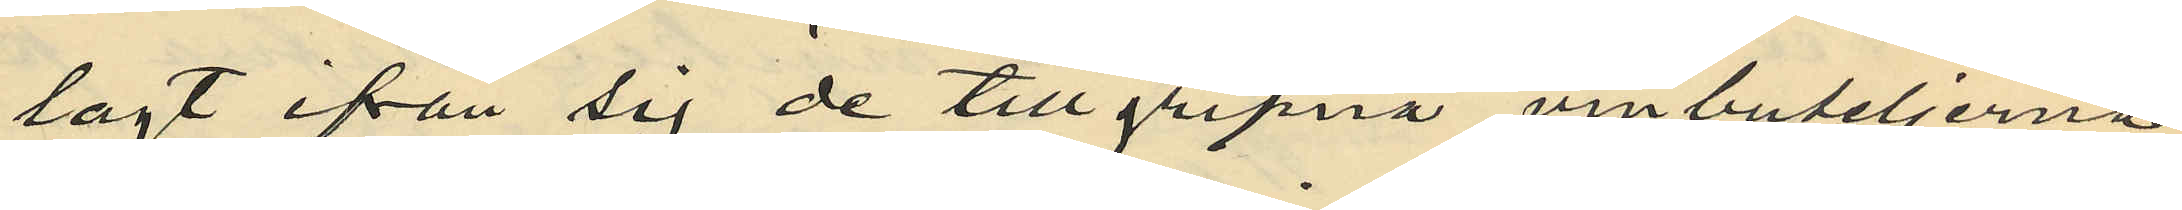lagt ifrån sig de tillgripna vinbuteljerna
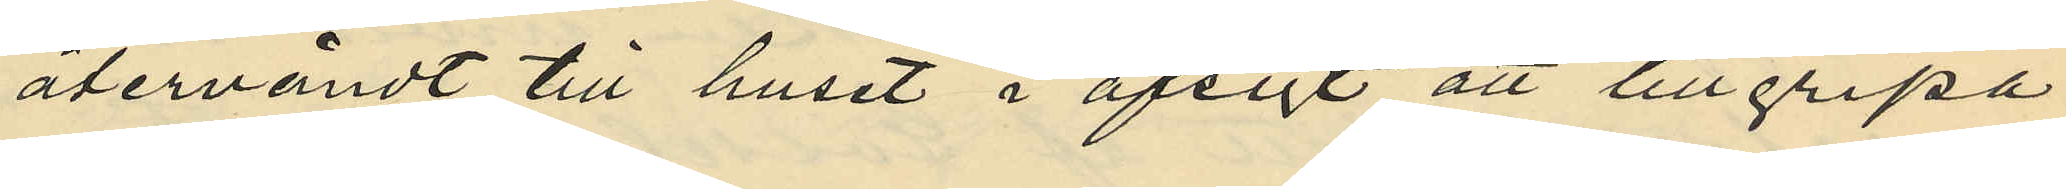återvändt till huset i afsigt att tillgripa
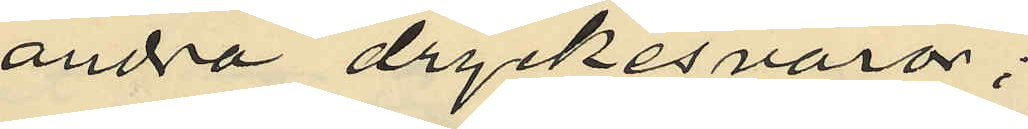andra dryckesvaror;
